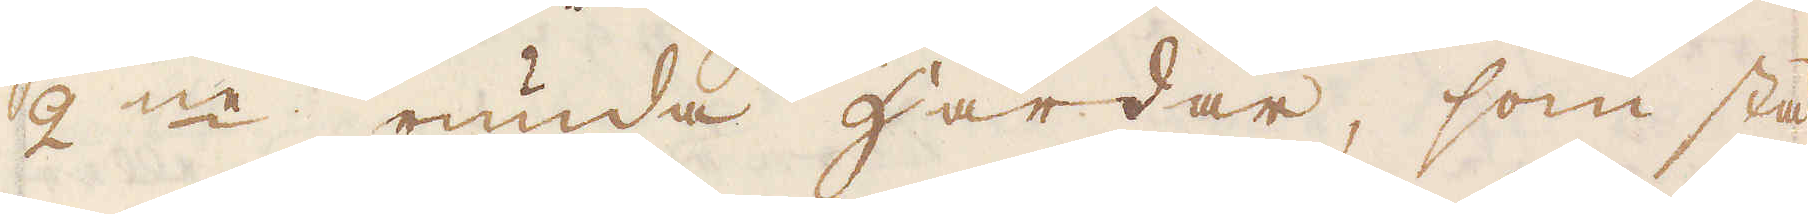2ne runda härdar, som stå
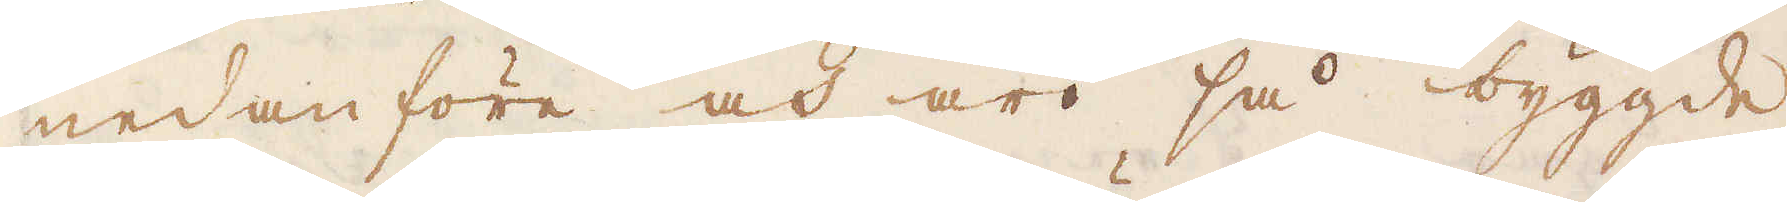nedanföre och äro så byggde
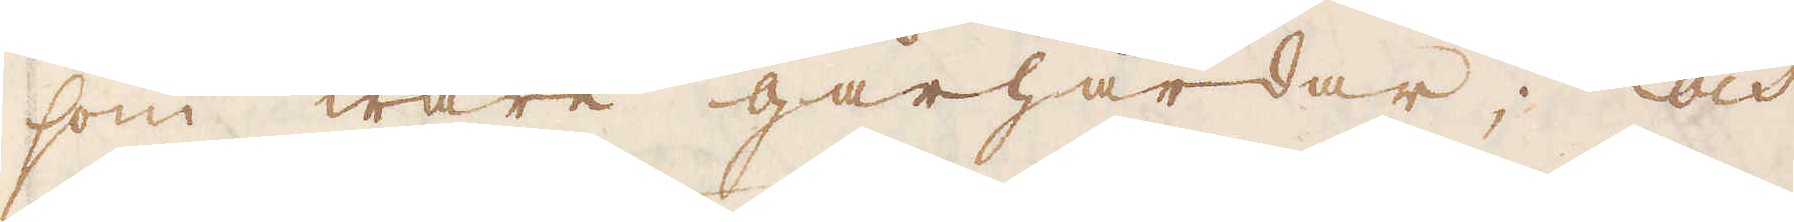som wåre gårhärdar; och
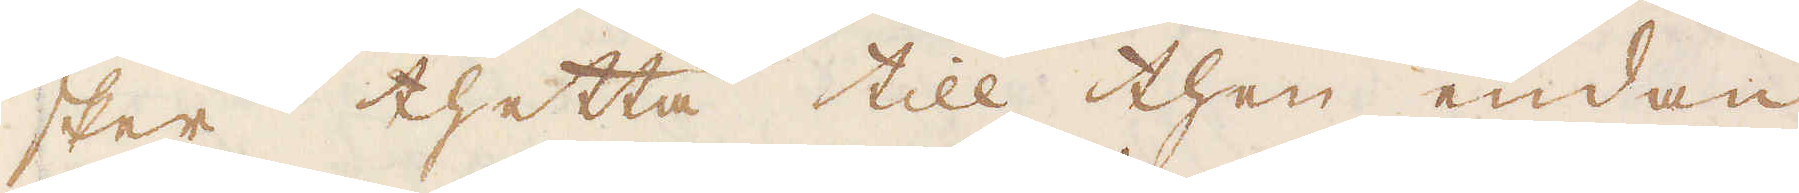sker thetta till then endan
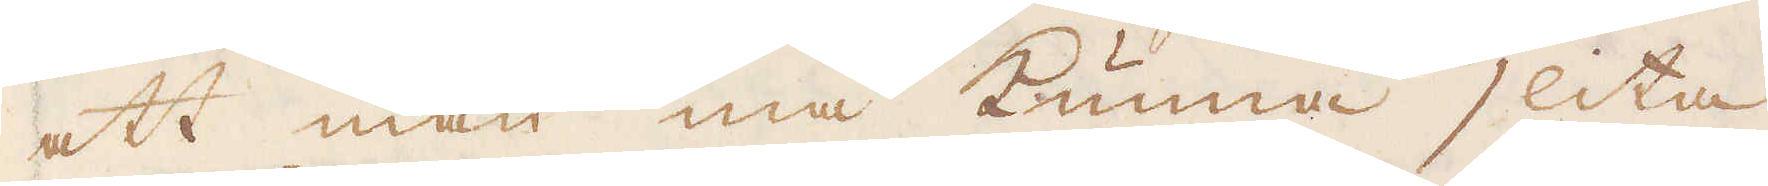att man må kunna slita
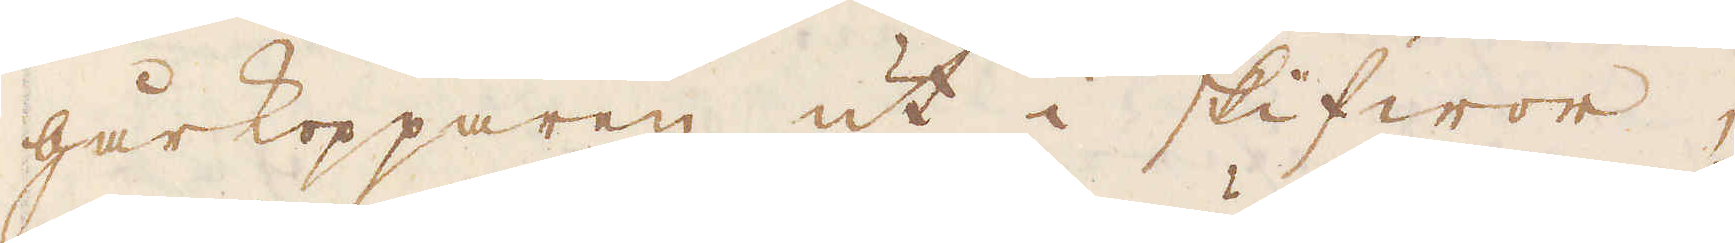gårkopparen ut i skifwor,
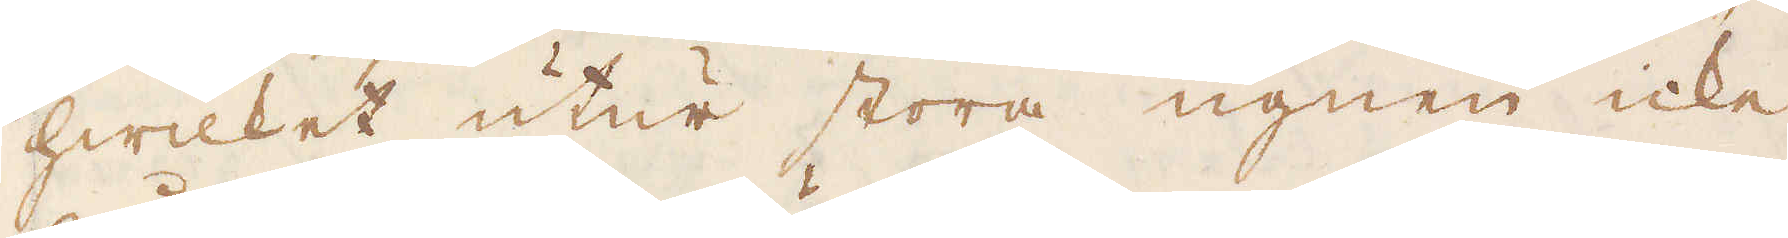hwilket utur stora ugnen icke
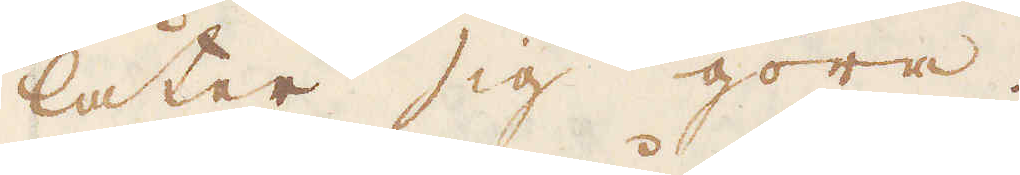låter sig göra.
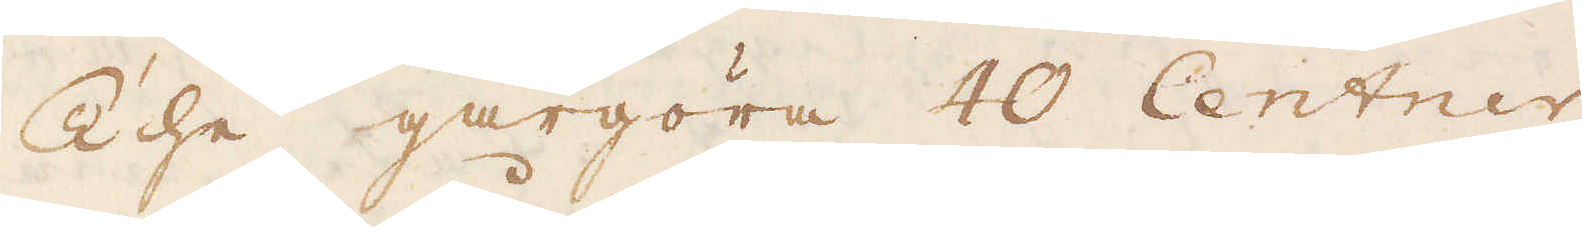The gårgöra 40 Centner
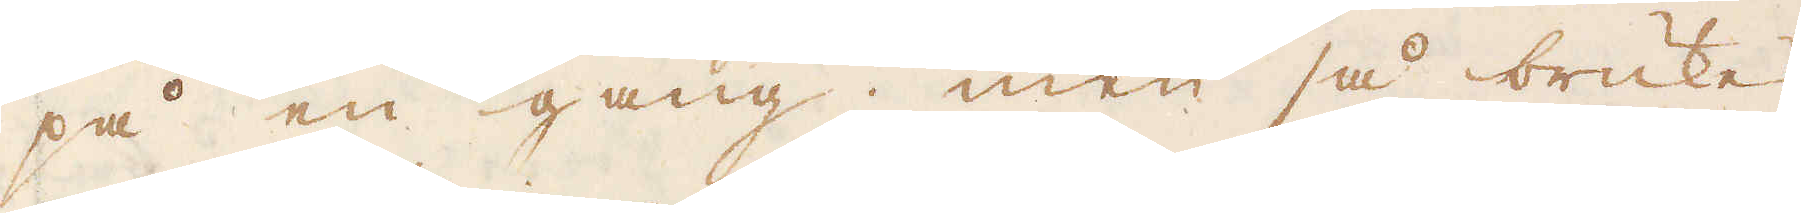på en gång; men så brukes
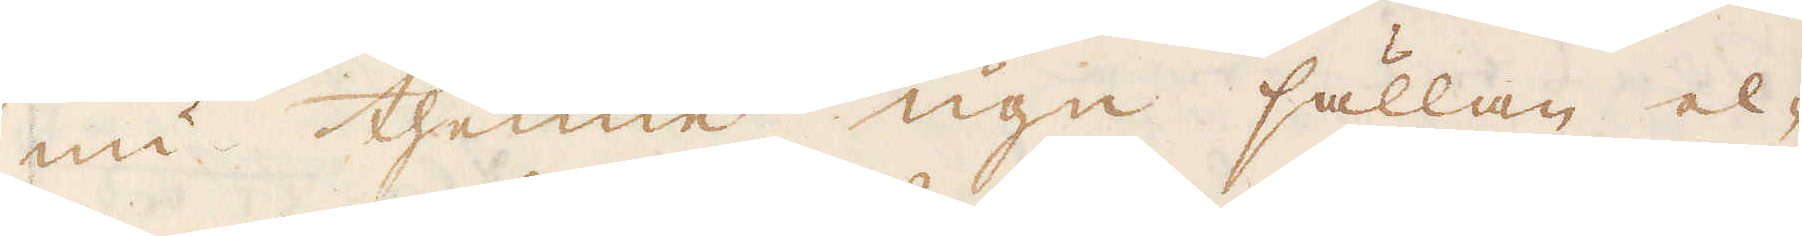nu thenne ugn sällan el-
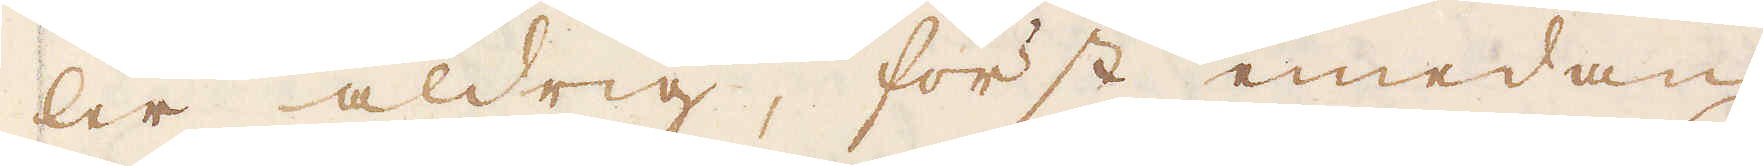ler aldrig, först emedan
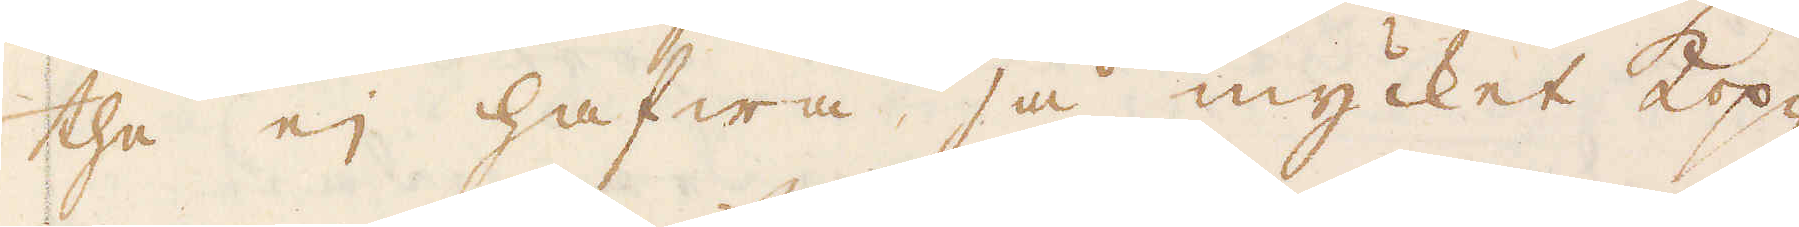the ej hafwa så mycket Kop-
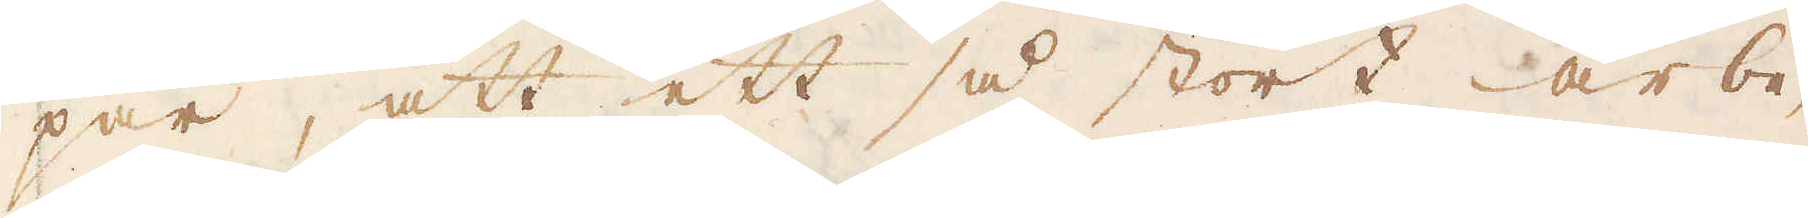par, att ett så stort arbe-
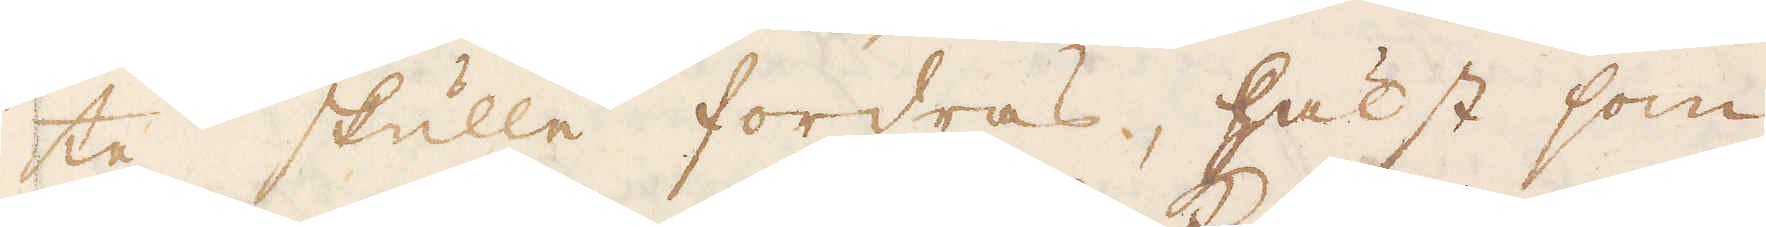te skulle fordras, hälst som
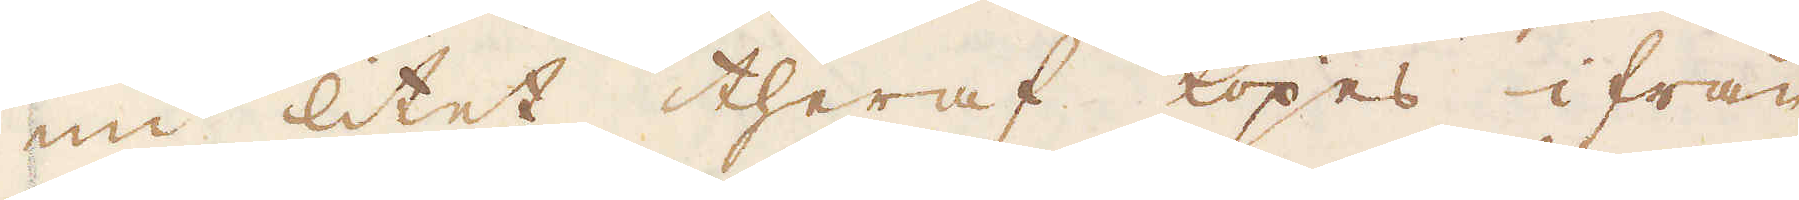nu litet theraf köpes ifrån
